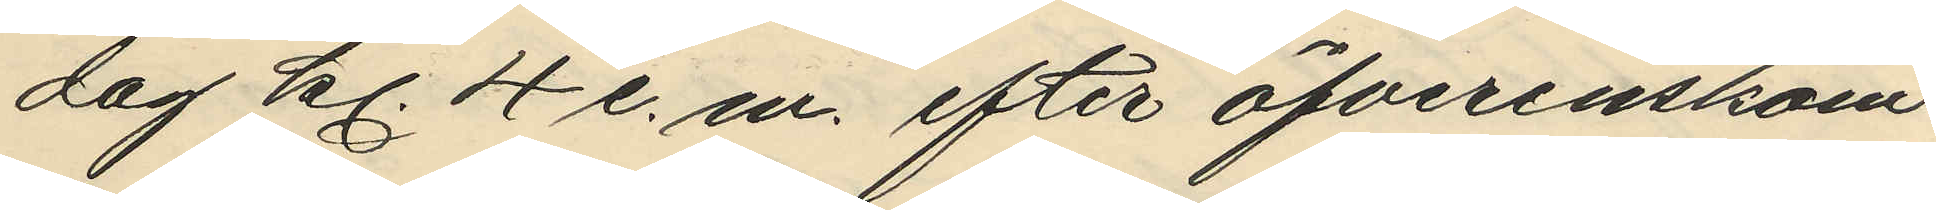dag kl. 4 e. m. efter öfverenskom¬
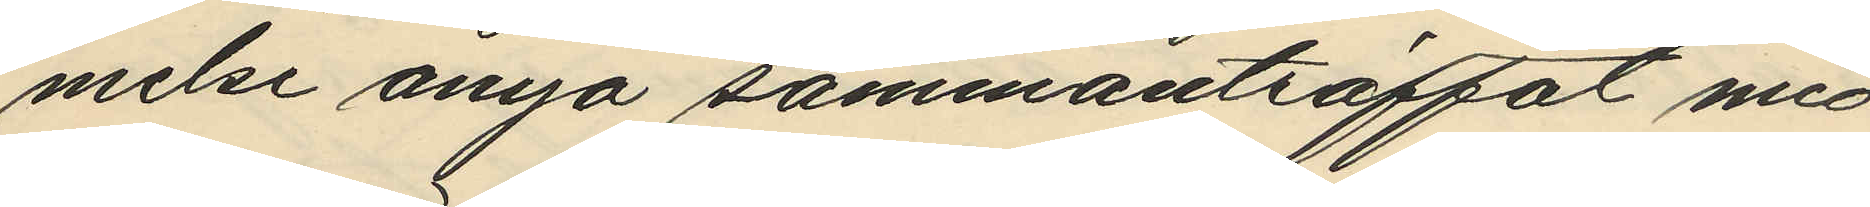melse ånyo sammanträffat med
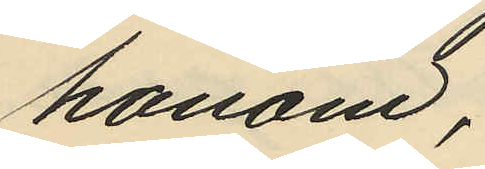honom;
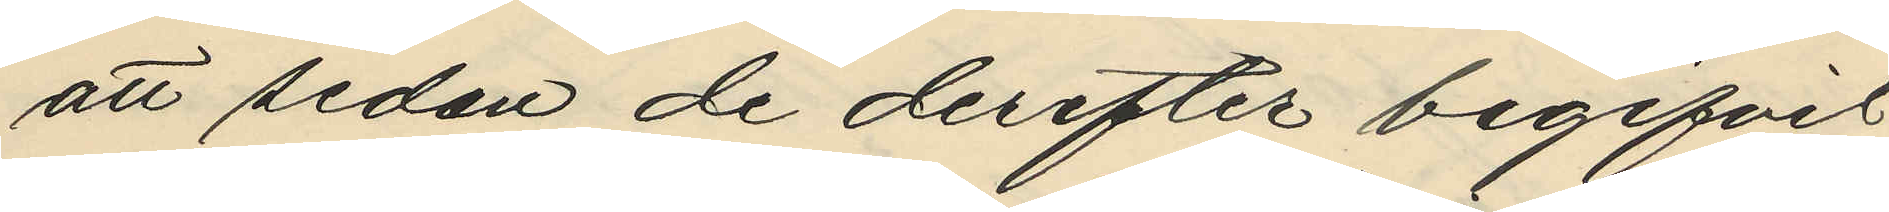att sedan de derefter begifvit
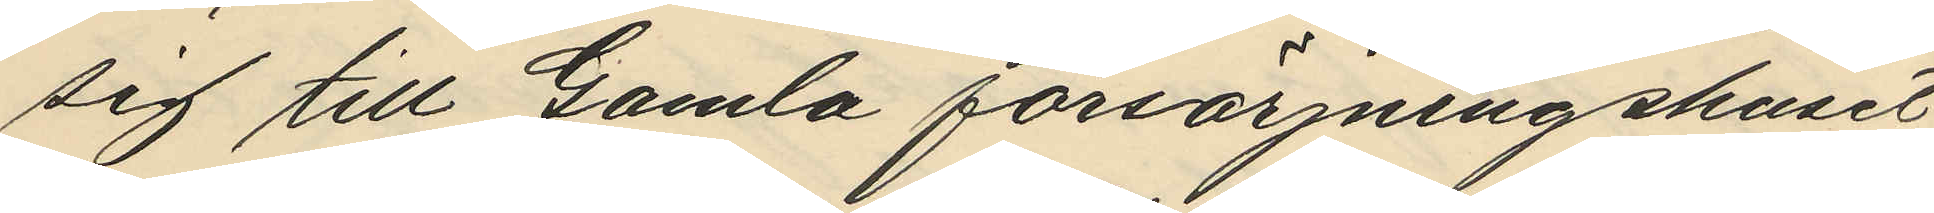sig till Gamla försörjningshuset
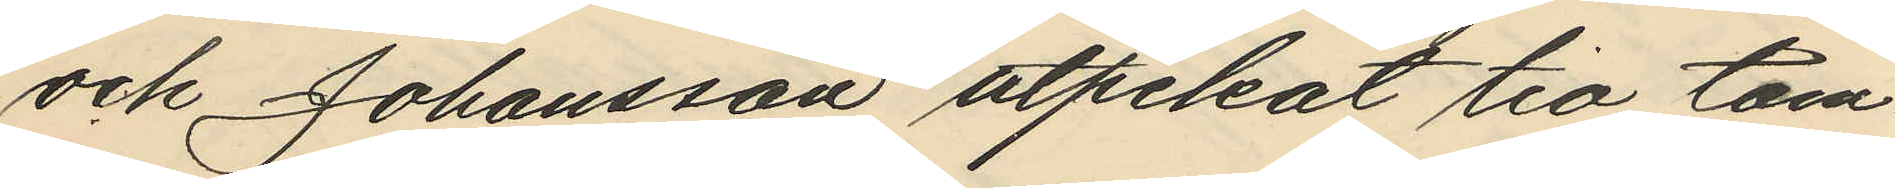och Johansson utpekat tio tom¬
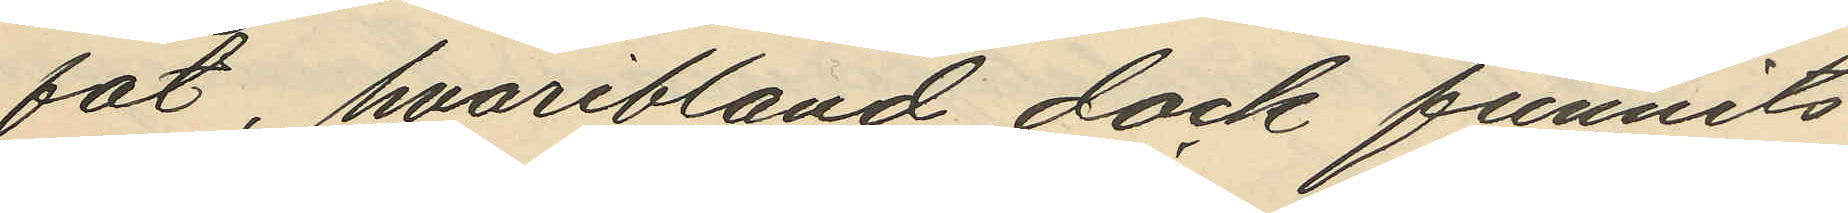fat, hvaribland dock funnits
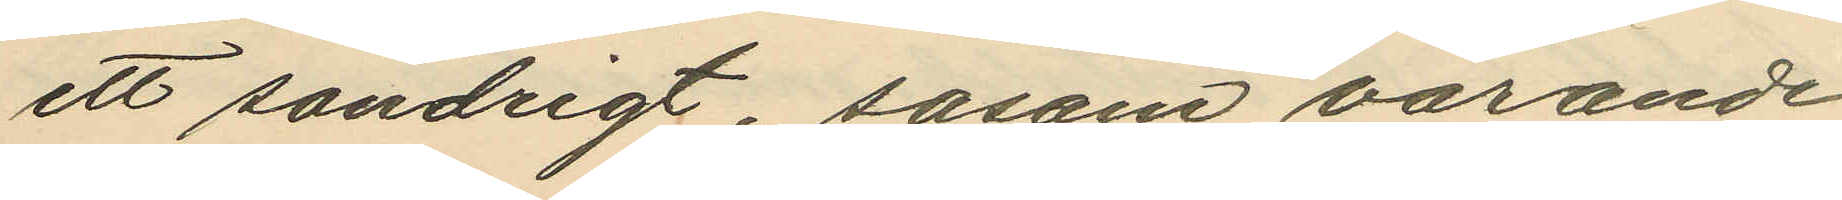ett söndrigt, sasom varande
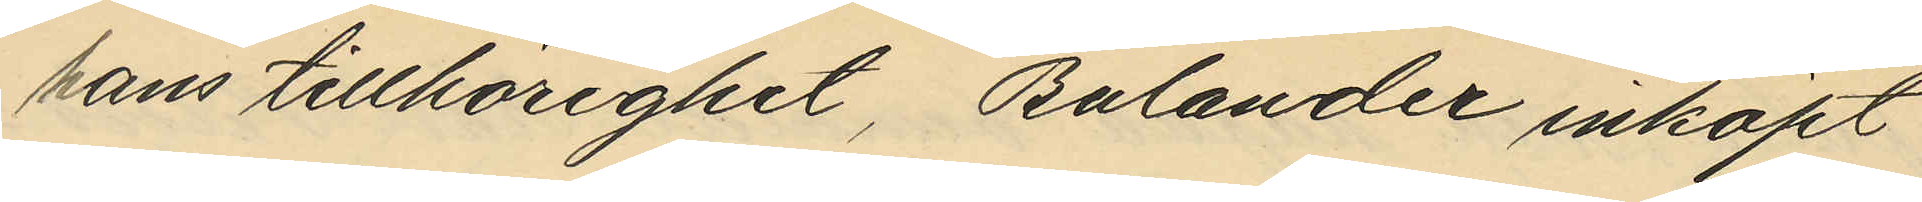hans tillhörighet, Bulander inköpt
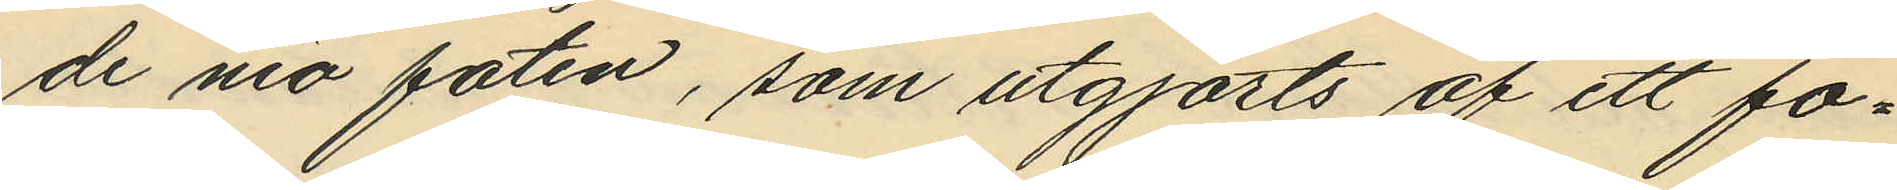de nio faten, som utgjorts af ett fo¬
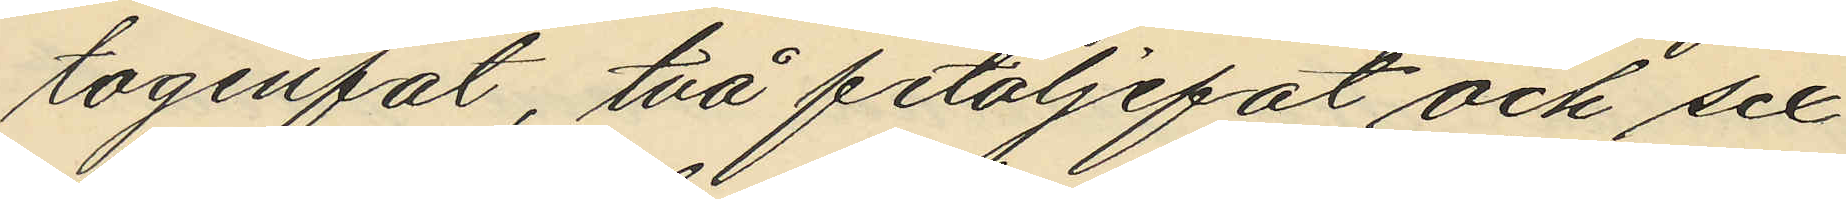togenfat, två fetoljefat och sex
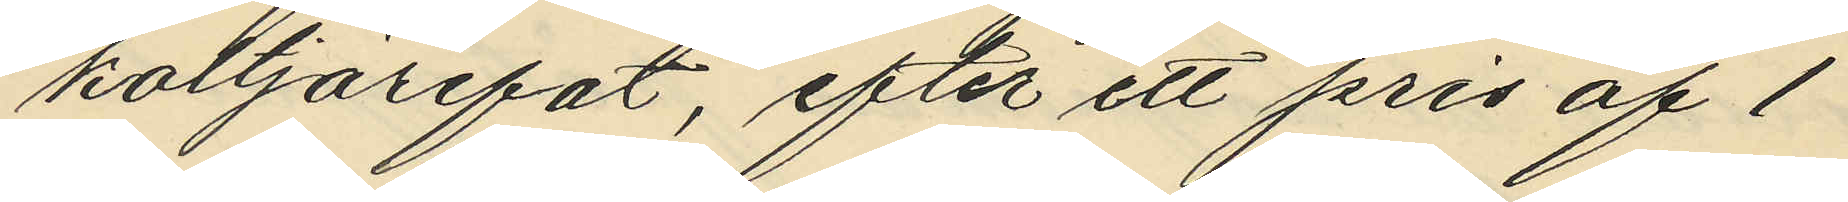koltjärefat, efter ett pris af 1
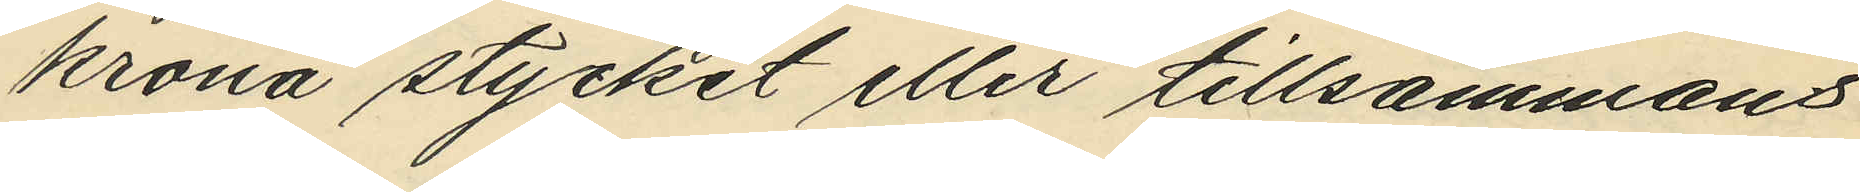krona stycket eller tillsammans
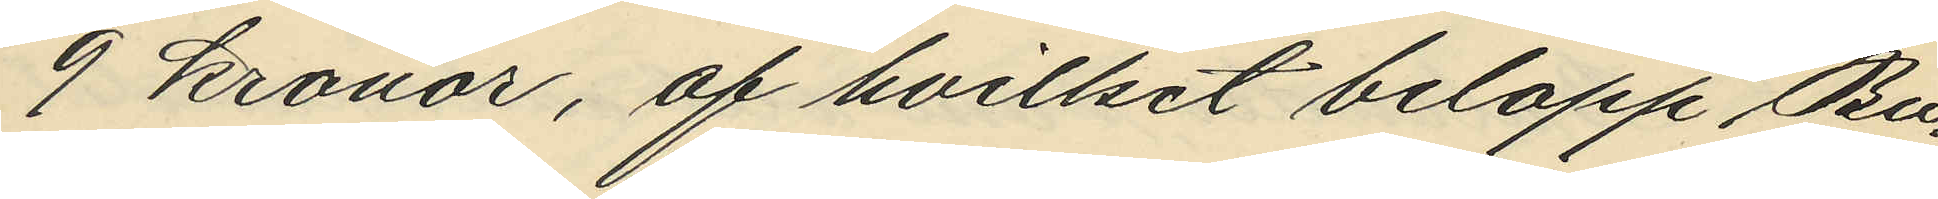9 kronor, af hvilket belopp Bu¬
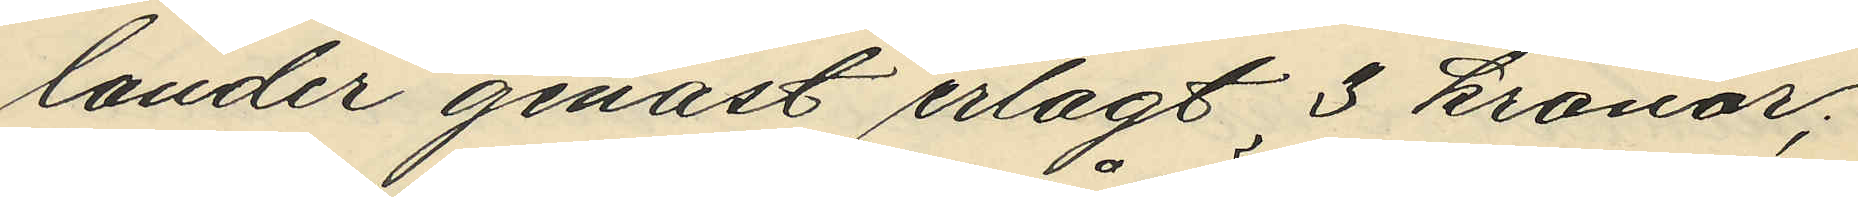lander genast erlagt 3 kronor;
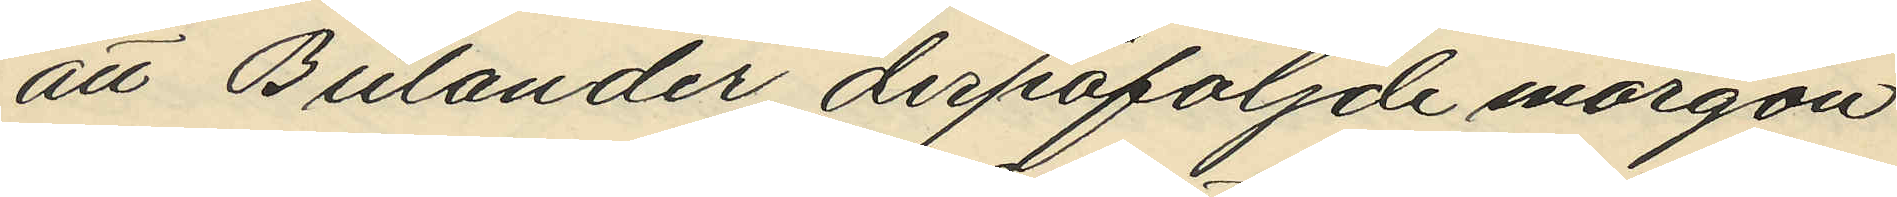att Bulander derpåföljde morgon
